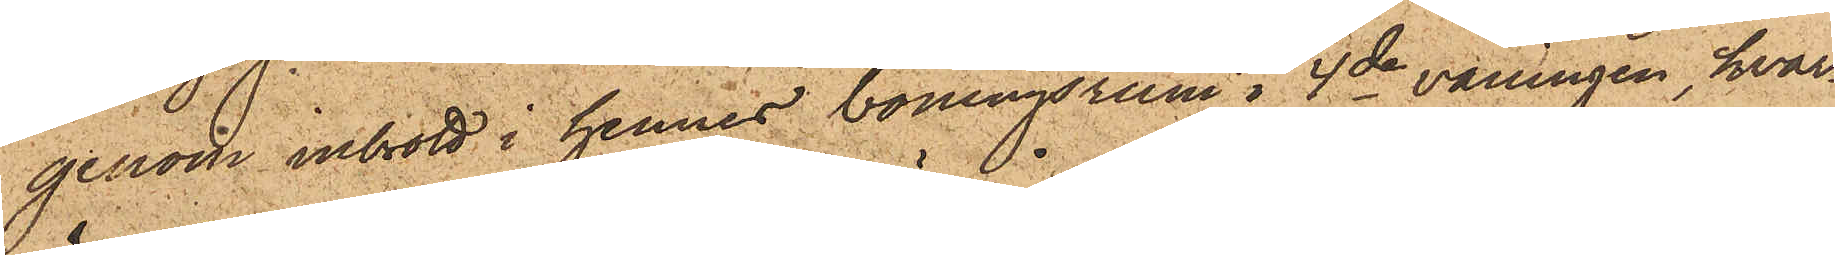genom inbrott i hennes boningsrum i 4de våningen, hvar¬
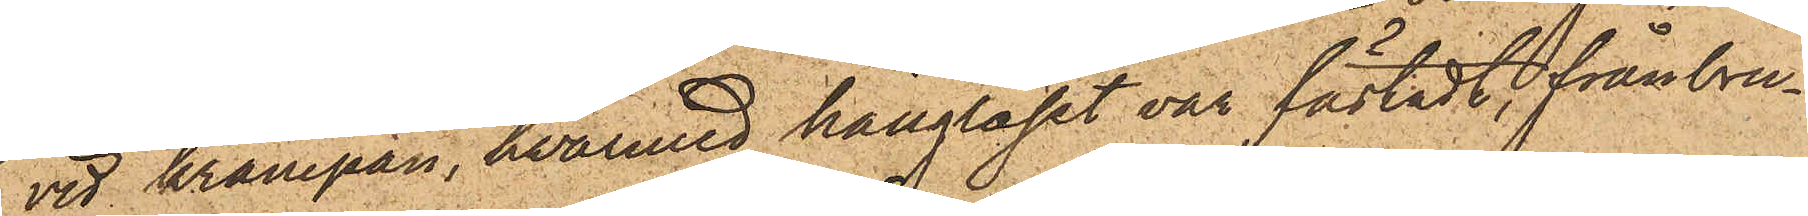vid krampan, hvarmed hänglåset var fästadt, frånbru¬
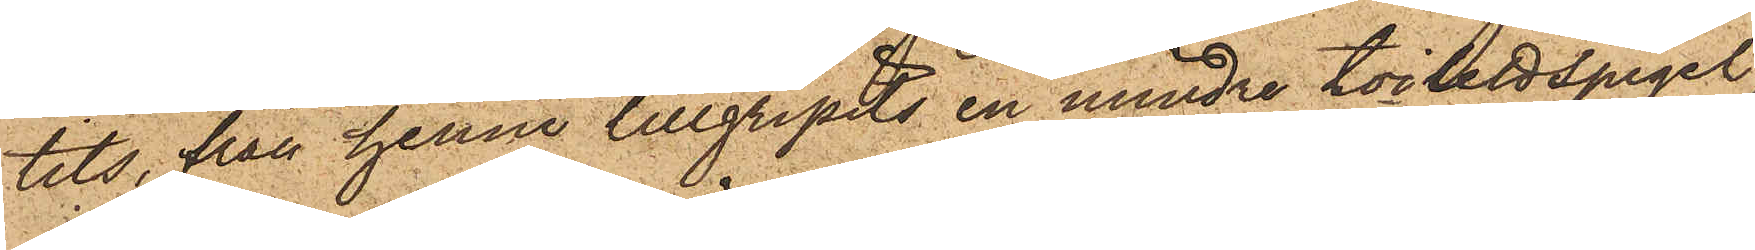tits, från henne tillgripits en mindre toilettspegel
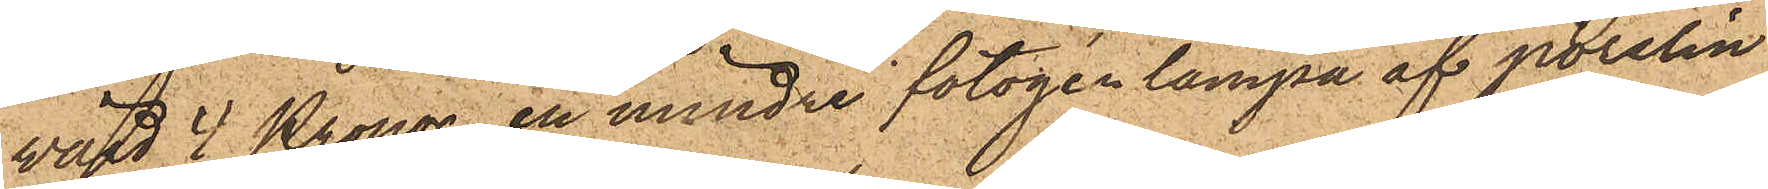värd 4 Kronor, en mindre fotogenlampa af porslin,
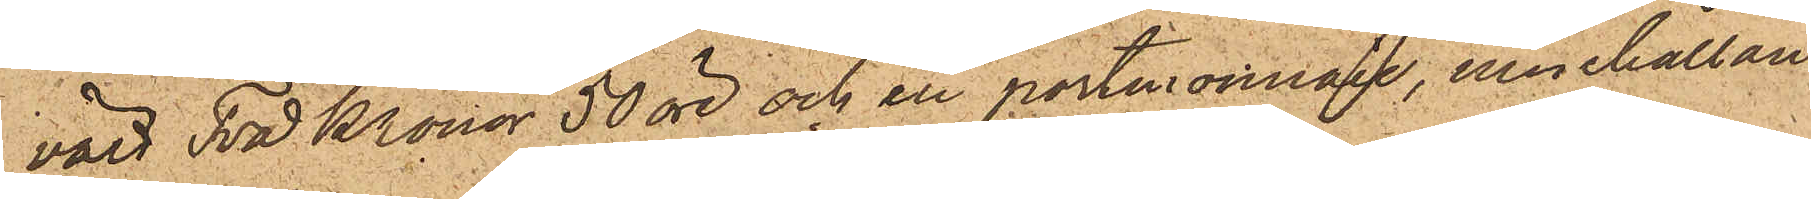värd Två Kronor 50 öre och en portmonnaie, innehållan¬
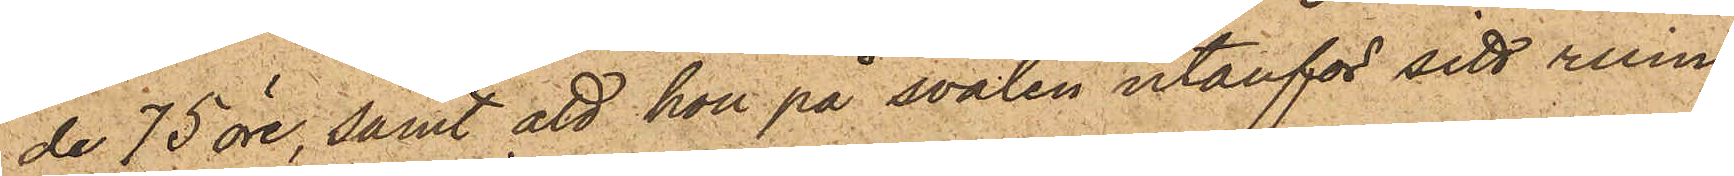de 75 öre, samt att hon på svalen utanför sitt rum
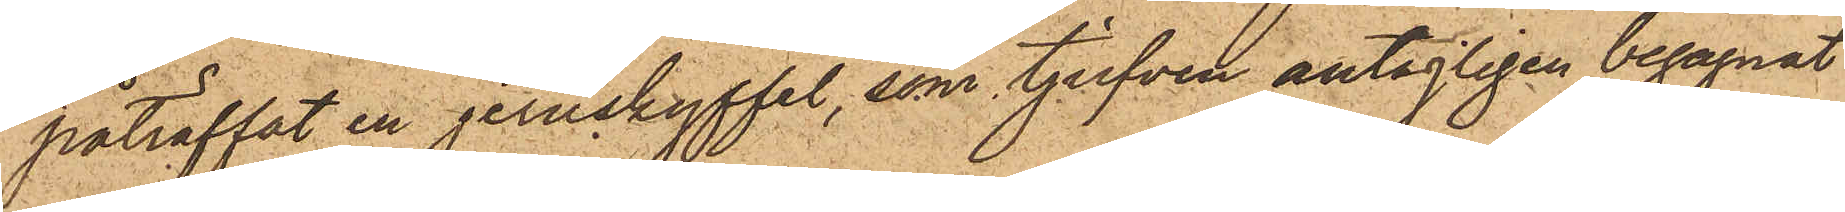påträffat en jernskyffel, som tjufven antagligen begagnat
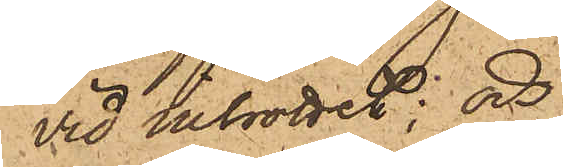vid inbrottet; och
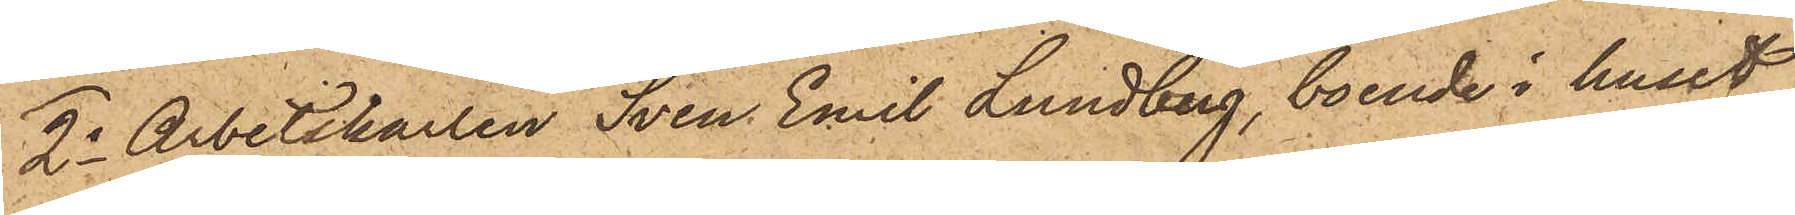2o Arbetskarlen Sven Emil Lundberg, boende i huset
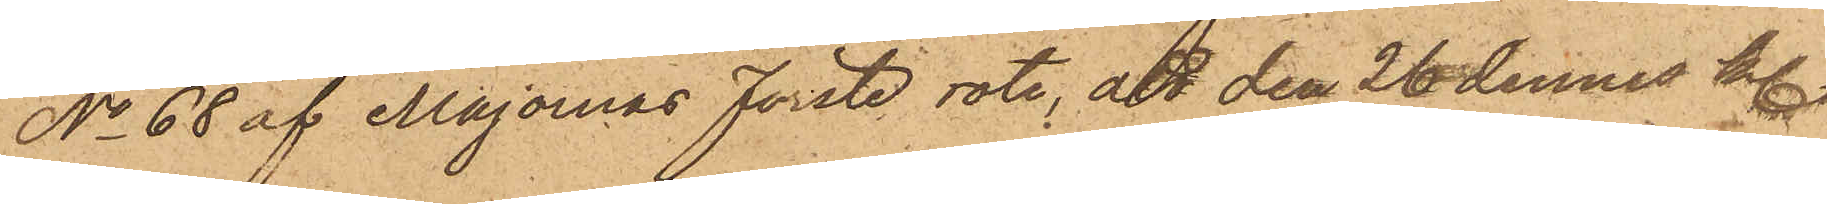No 68 af Majornas Förste rote, att den 26 dennes kl.
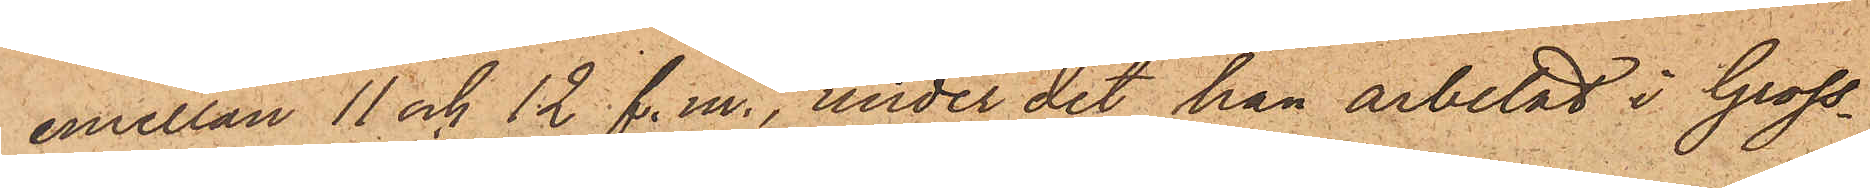emellan 11 och 12 f. m., under det han arbetat i Gross¬
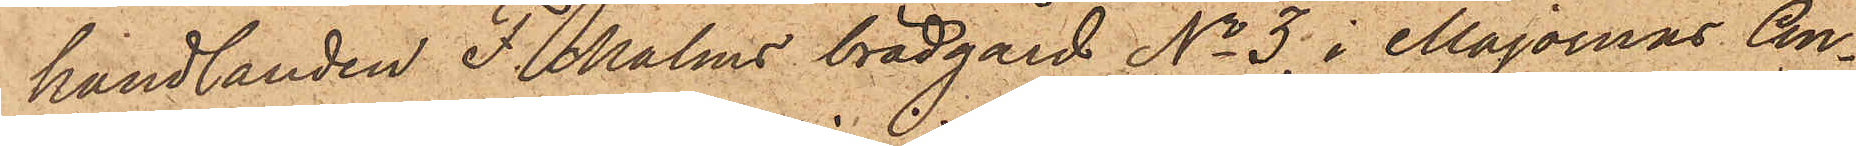handlanden F. Malms brädgård No 3 i Majornas An¬
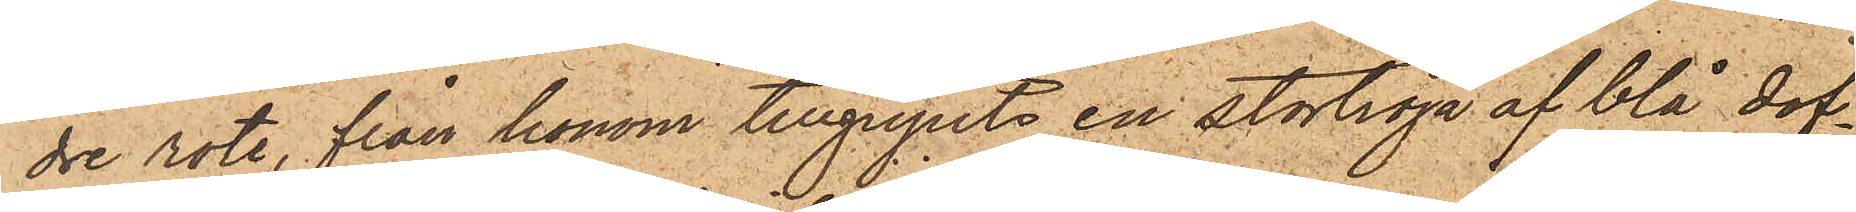dre rote, från honom tillgripits en stortröja af blå dof¬
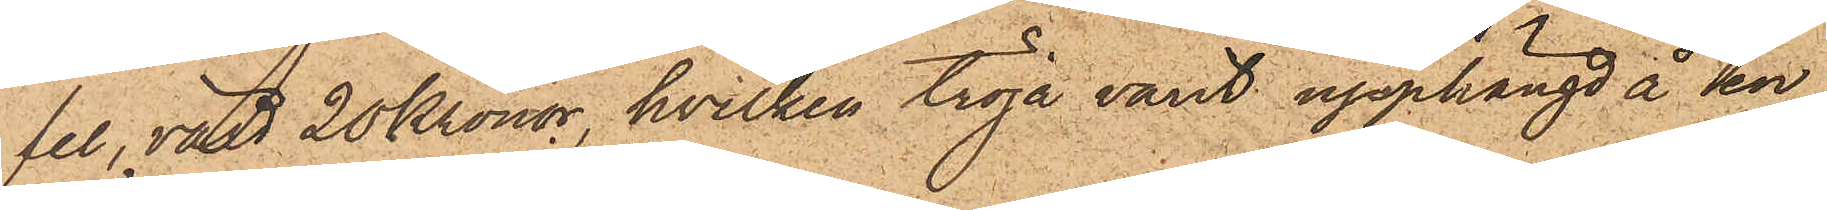fel, värd 20 Kronor, hvilken tröja varit upphängd å en
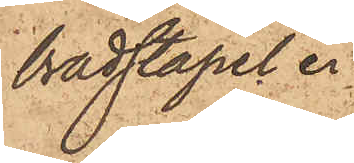brädstapel.
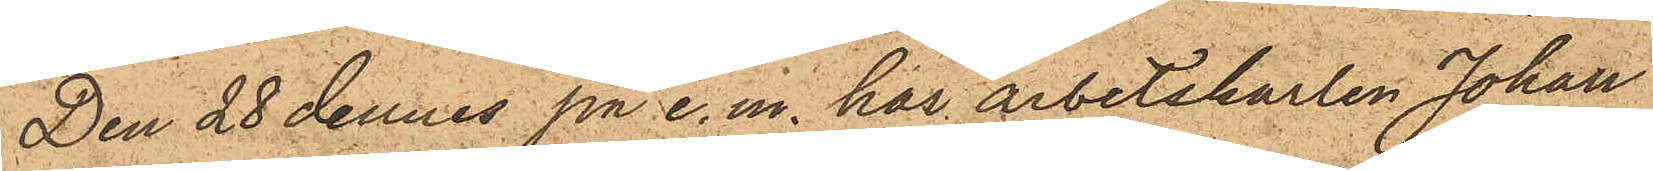Den 28 dennes på e. m. har arbetskarlen Johan
